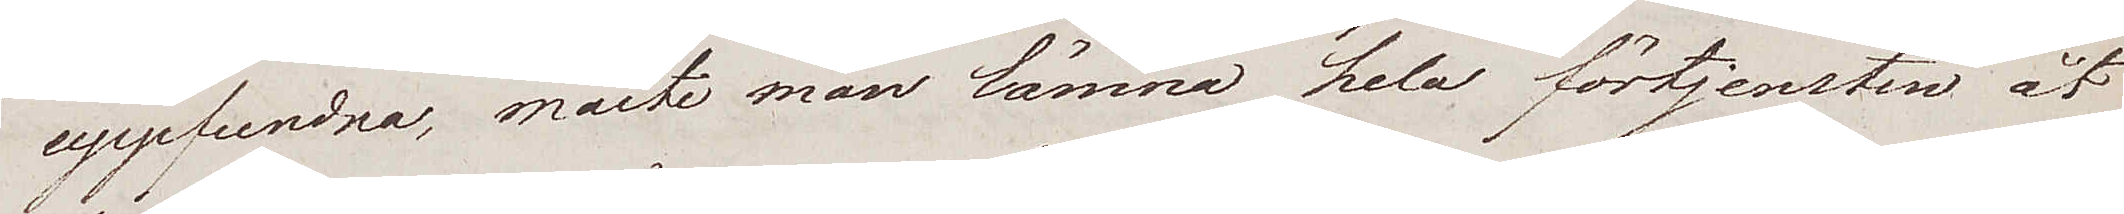uppfundna, måste man lämna hela förtjensten åt
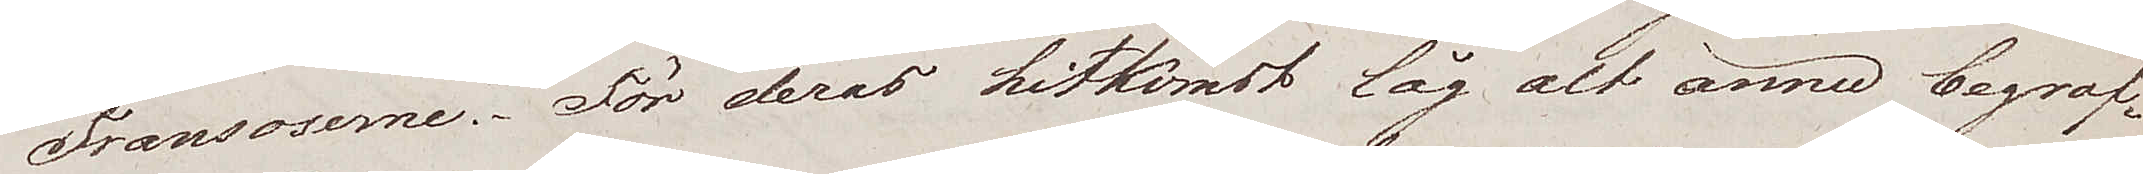Fransoserne. För deras hitkomst låg alt ännu begraf¬
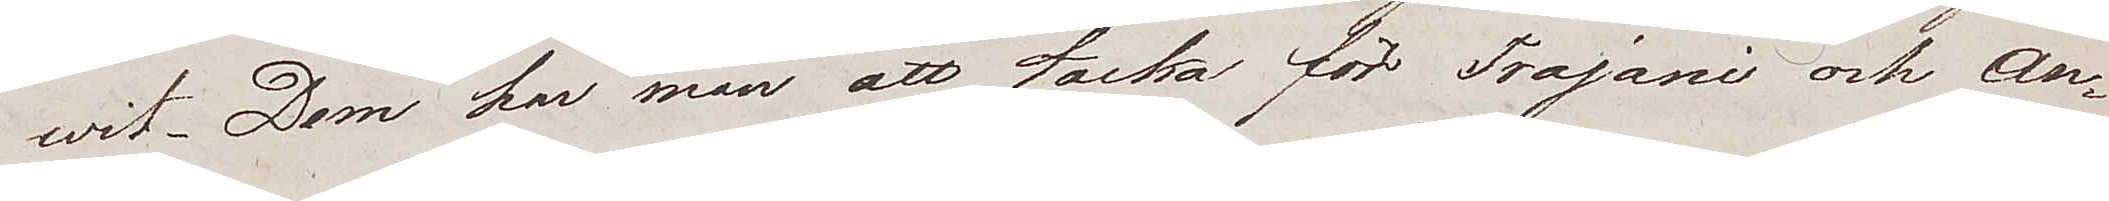wit. Dem har man att tacka för Trojani och An¬
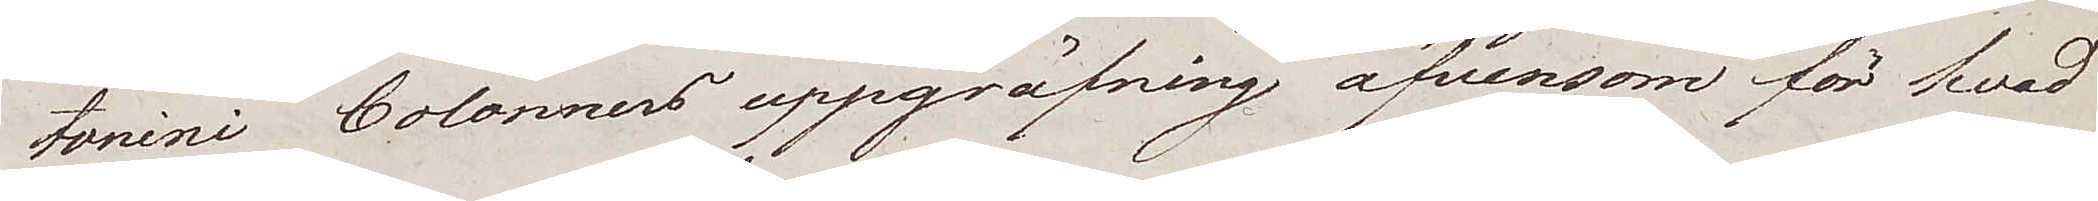tonini Colonners uppgräfning äfvensom för hvad
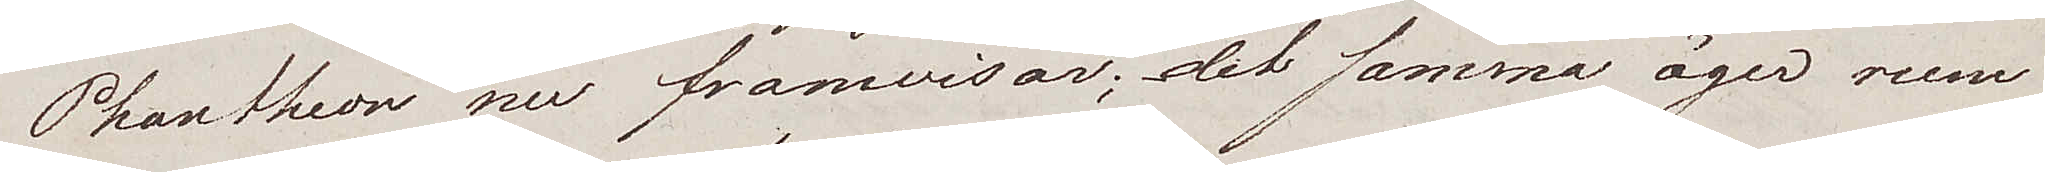Phartheon nu framwisar; det samma äger rum
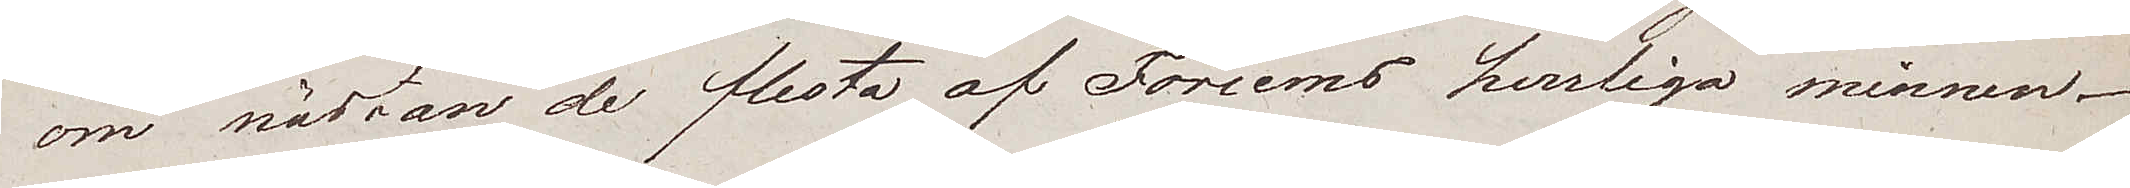om nästan de flesta af Forums herrliga minnen.
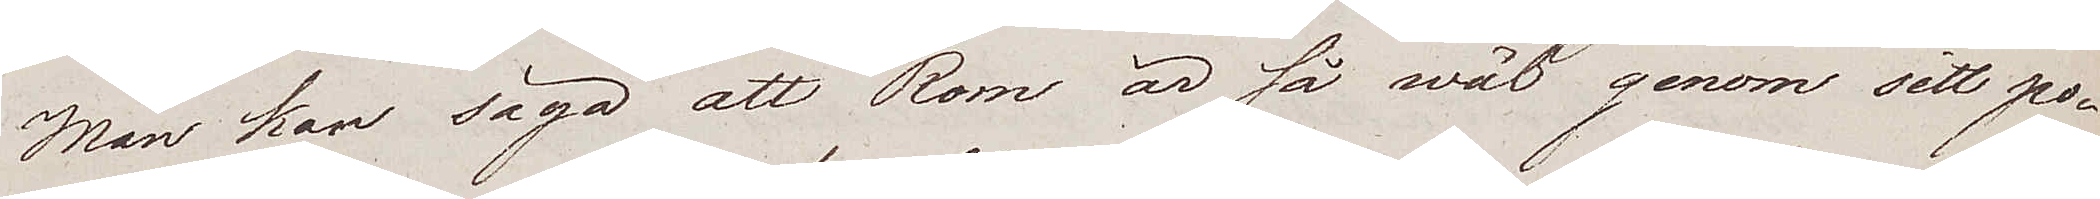Man kan säga att Rom är så wäl genom sitt po¬
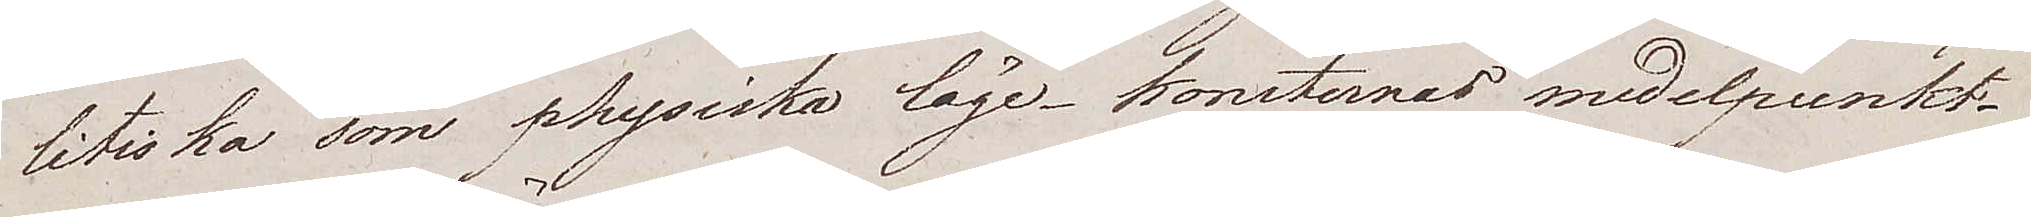litiska som physiska läge – konsternas medelpunkt.
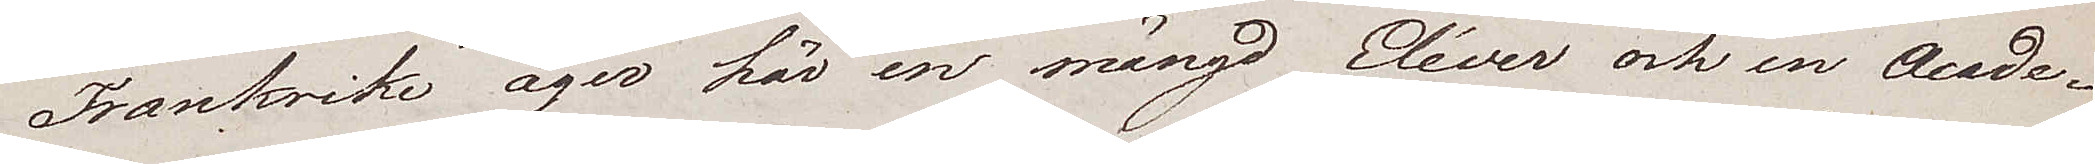Frankrike äger här en mängd Eléver och en Acade¬
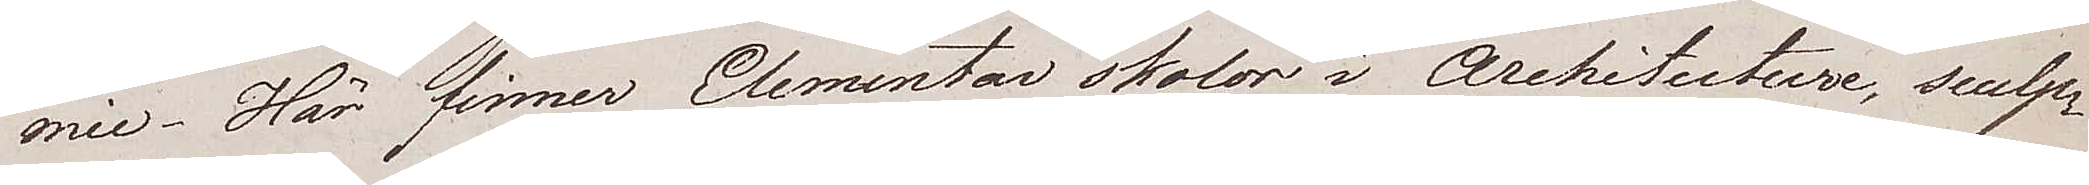mie. Här finnes Elementar skolor i Architecture, sculp¬
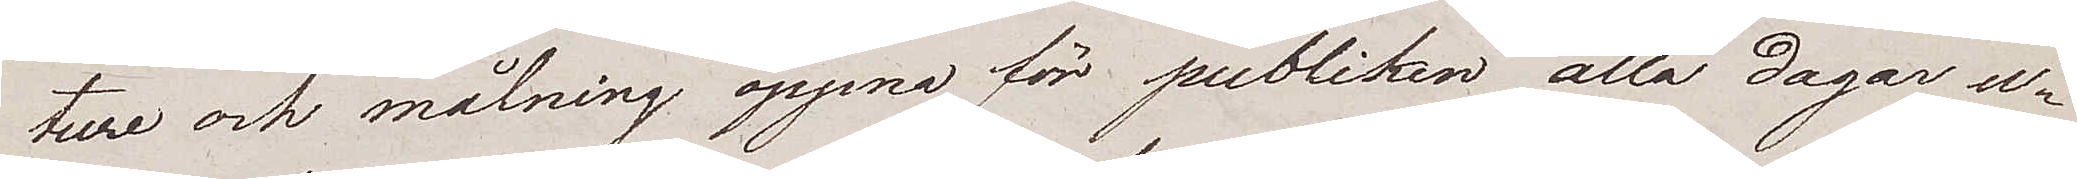ture och målning öppna för publiken alla dagar u¬
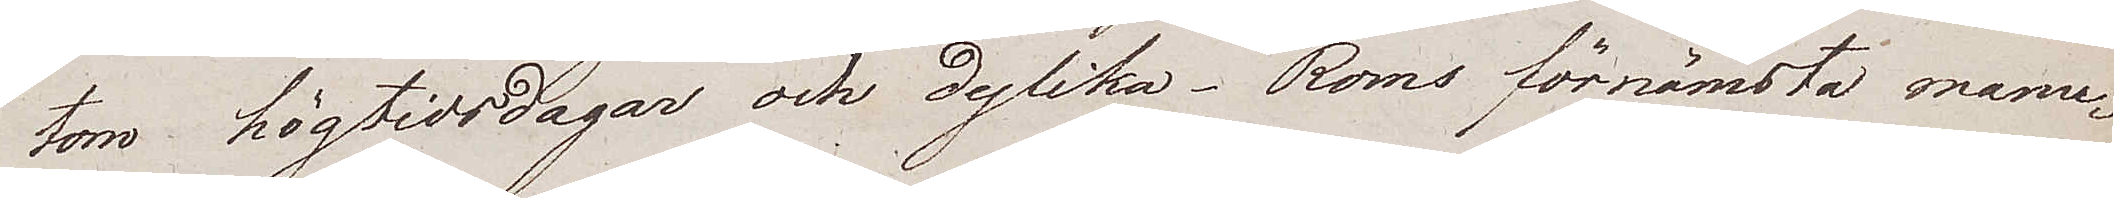tom högtidsdagar och dylika. Roms förnämsta manu¬
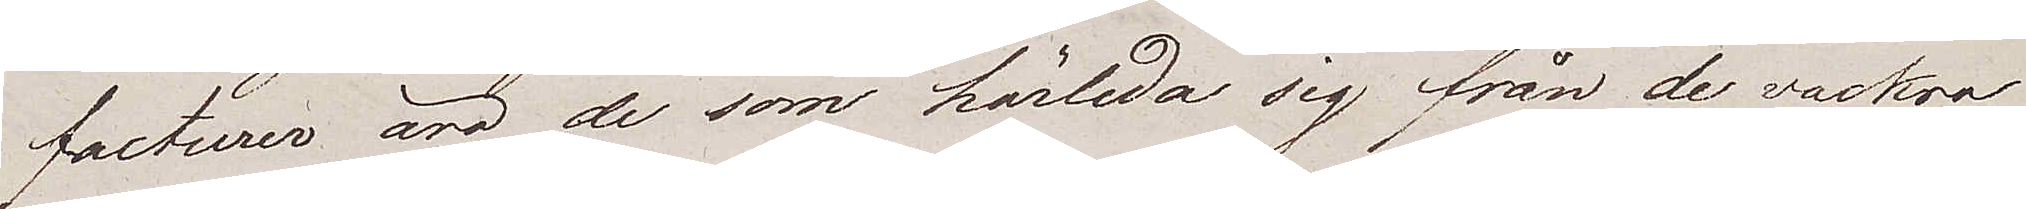facturer äro de som härleda sig från de vackra
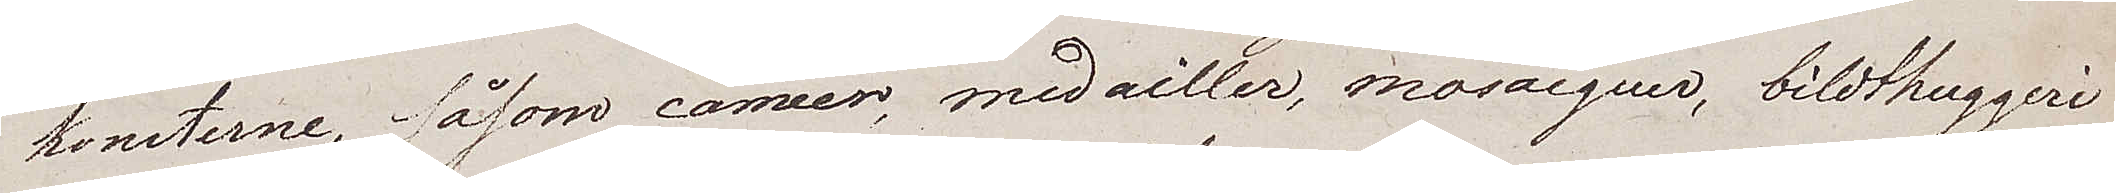konsterne, såsom caméer, medailler, mosaicquer, bildthuggeri¬
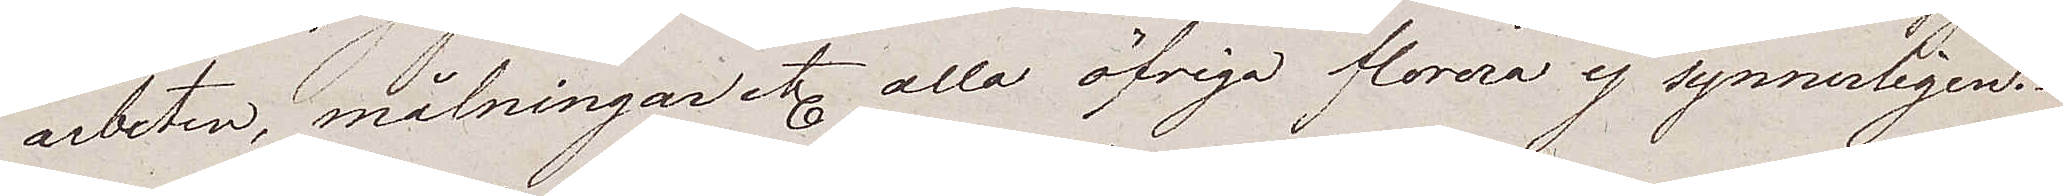arbeten, målningar etc. alla öfriga florera ej synnerligen.
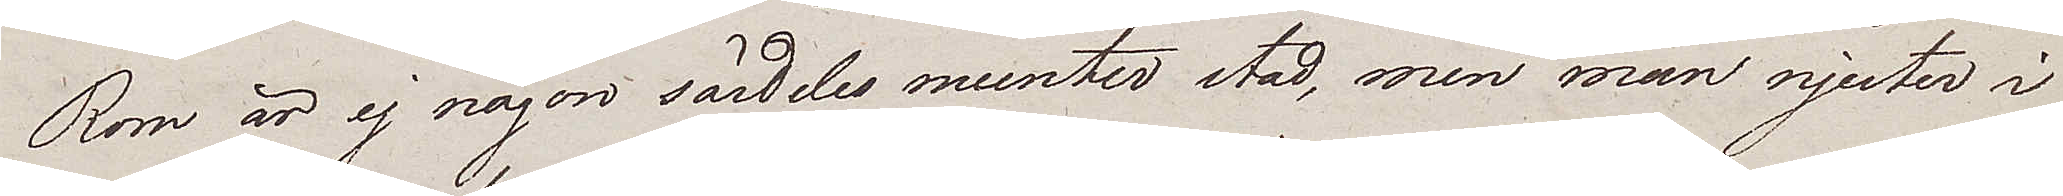Rom är ej någon särdeles munter stad, men man njuter i
